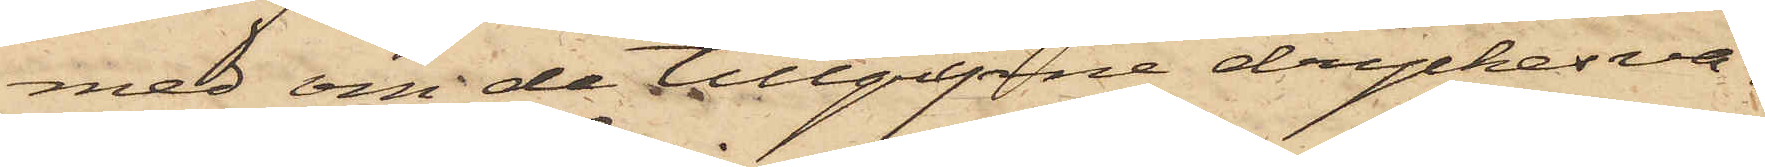med om de tillgripne dryckesva¬
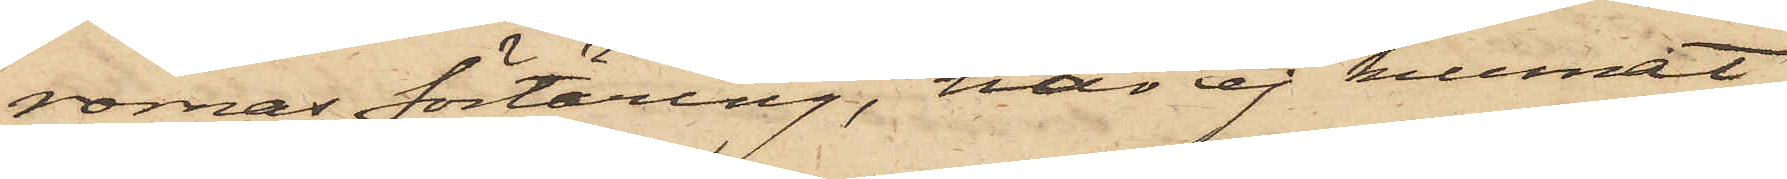rornas förtäring, har ej kunnat
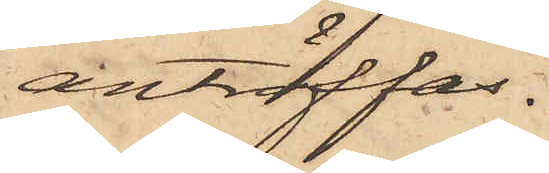anträffas.
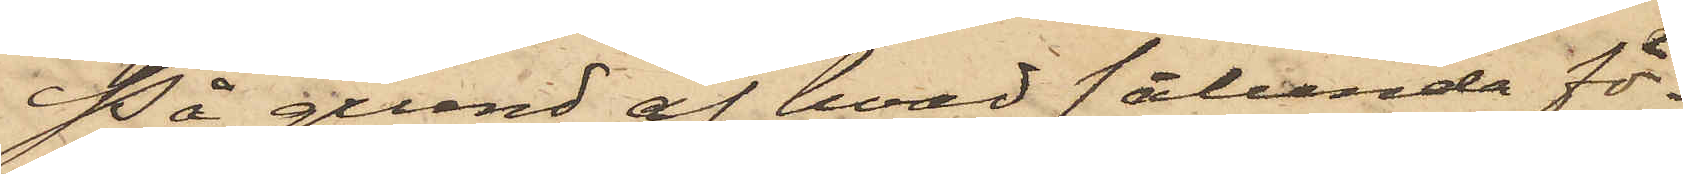På grund af hvad sålunda för¬
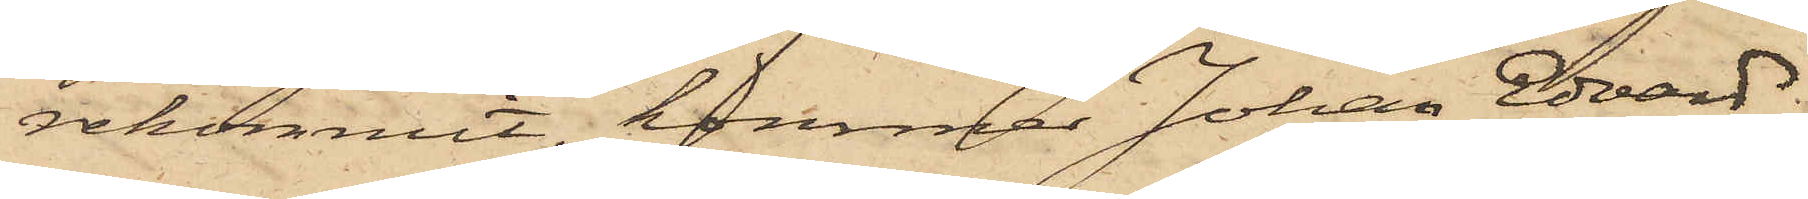rekommit, kommer Johan Edvard
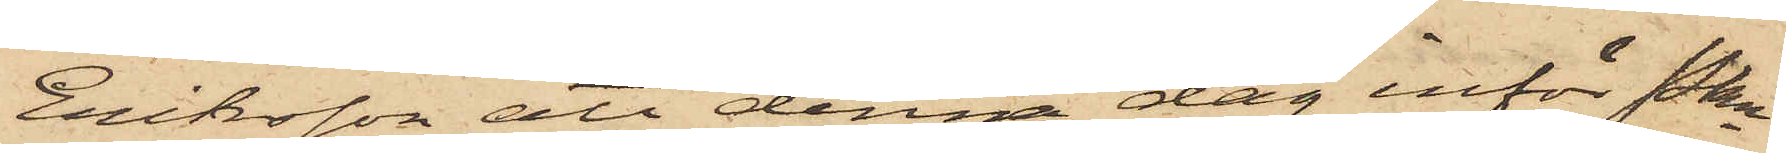Eriksson att denna dag inför Pkn
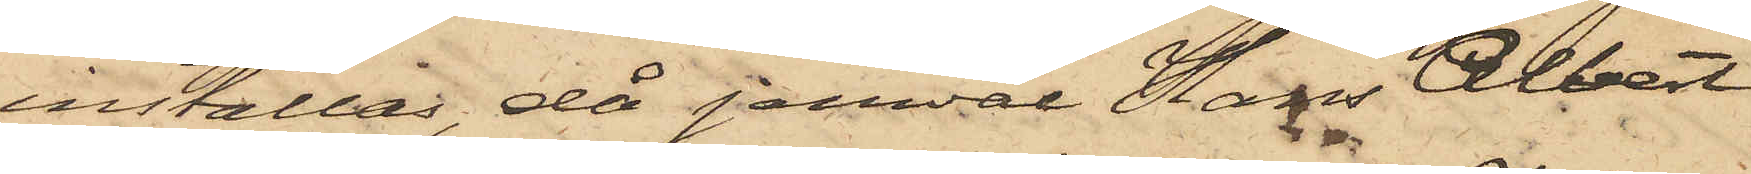inställas, då jemväl Hans Albert
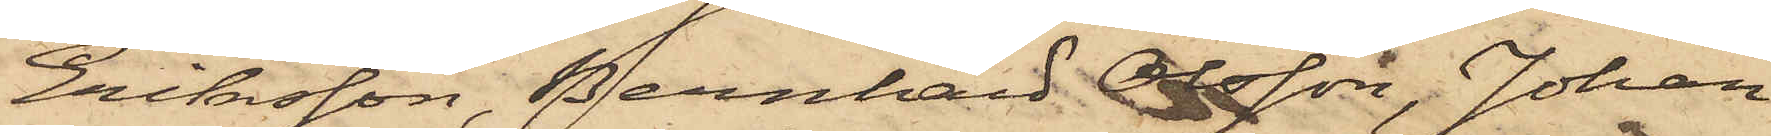Eriksson, Bernhard Olsson, Johan
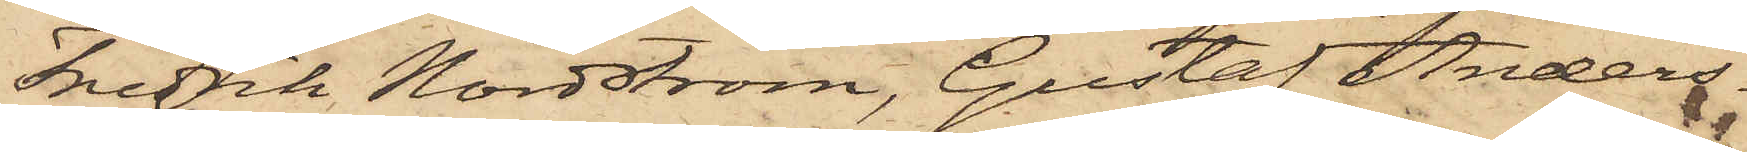Fredrik Nordström, Gustaf Anders¬
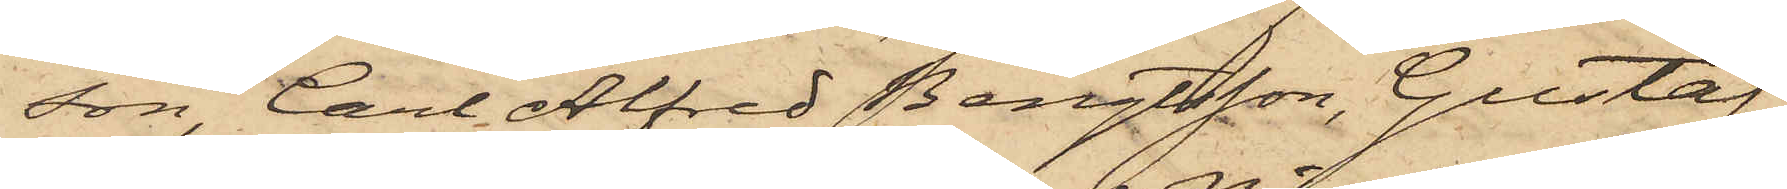son, Carl Alfred Bengtsson, Gustaf
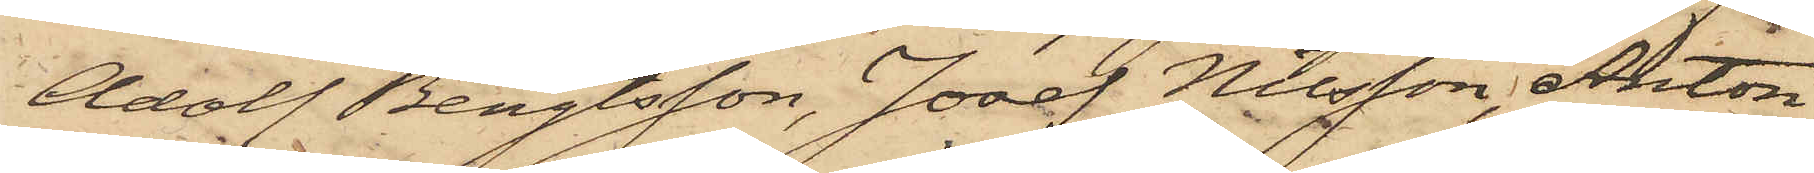Adolf Bengtsson, Josef Nilsson, Anton
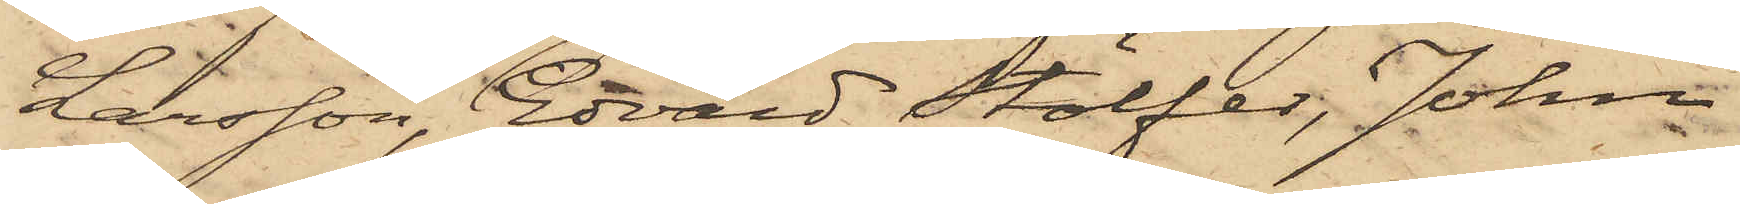Larsson, Edvard Stölfer, John
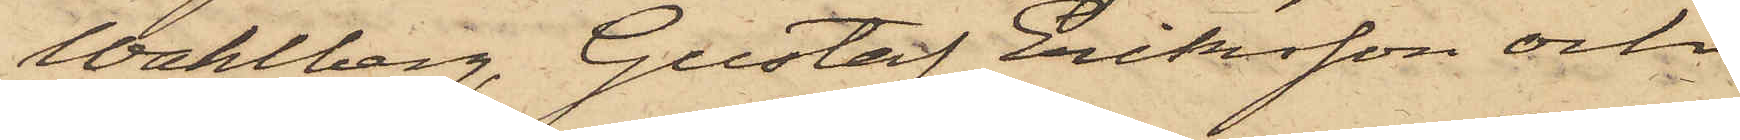Wahlberg, Gustaf Eriksson och
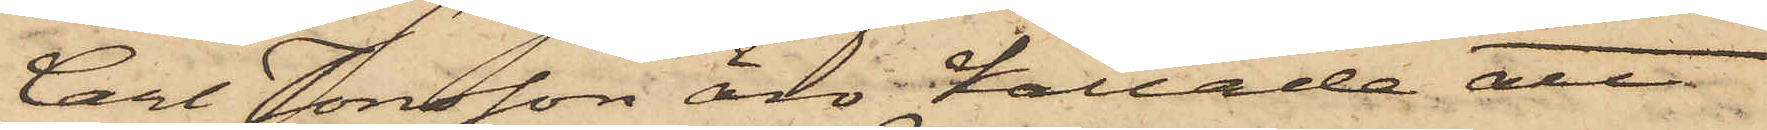Carl Jonsson äro kallade att
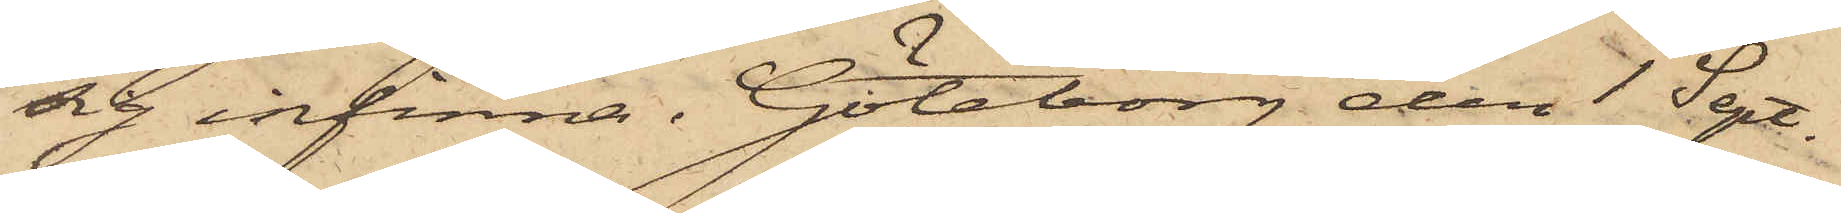sig infinna. Göteborg den 1 Sept.
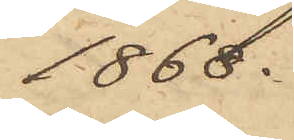1868.
